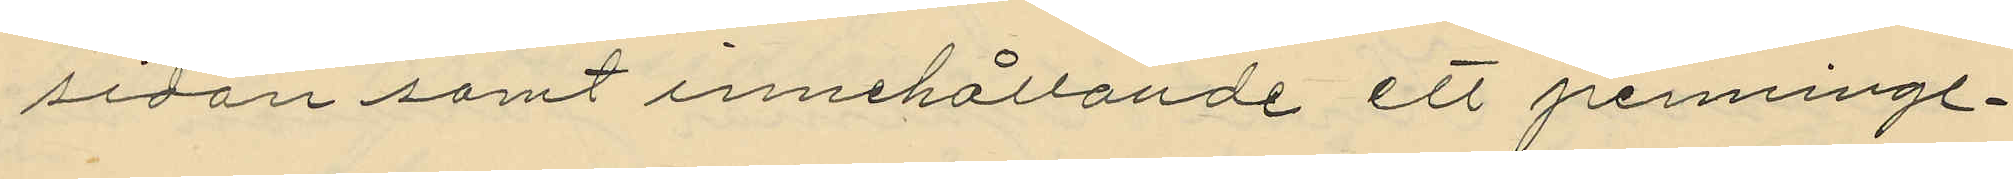sidan samt innehållande ett penning¬
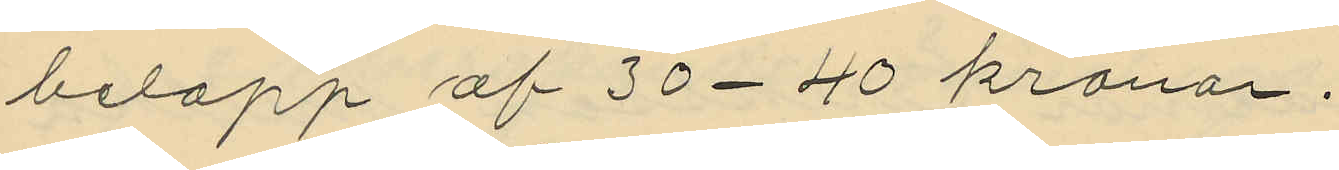belopp af 30-40 kronor.
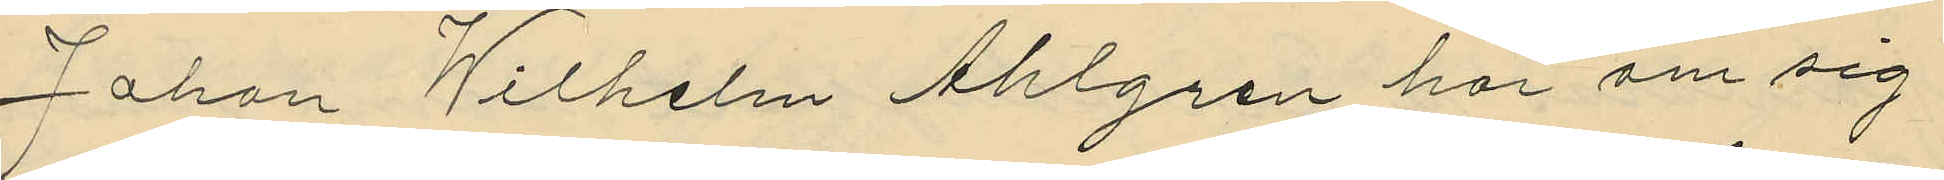Johan Wilhelm Ahlgren har om sig
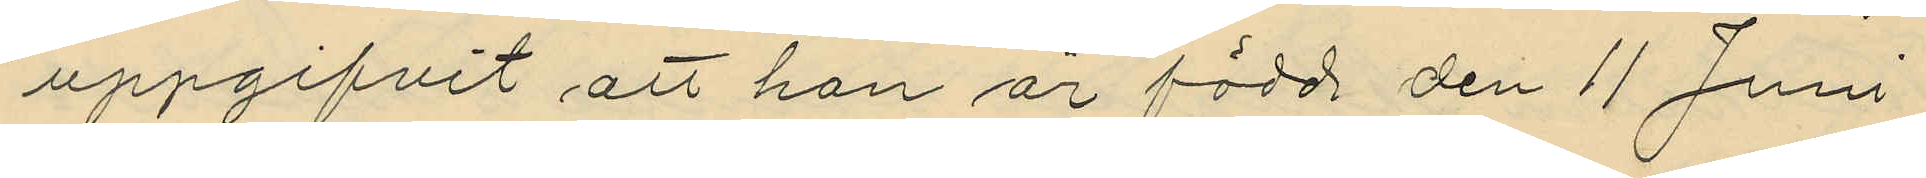uppgifvit att han är född den 11 Juni
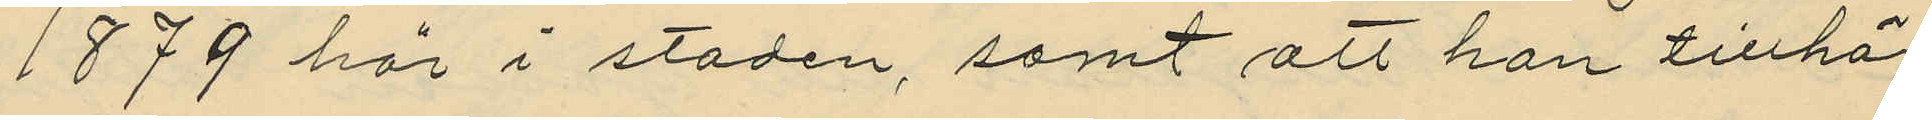1879 här i staden, samt att han tillhör
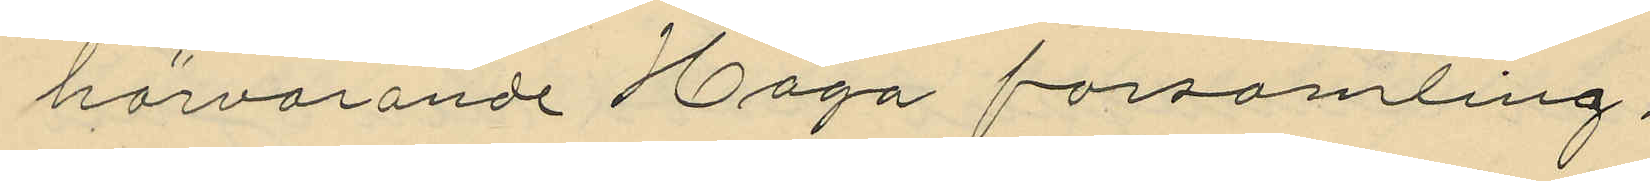härvarande Haga församling.
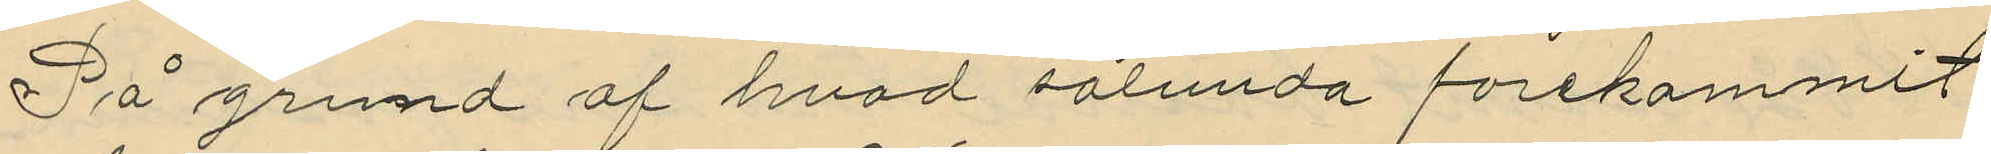På grund af hvad sålunda förekommit
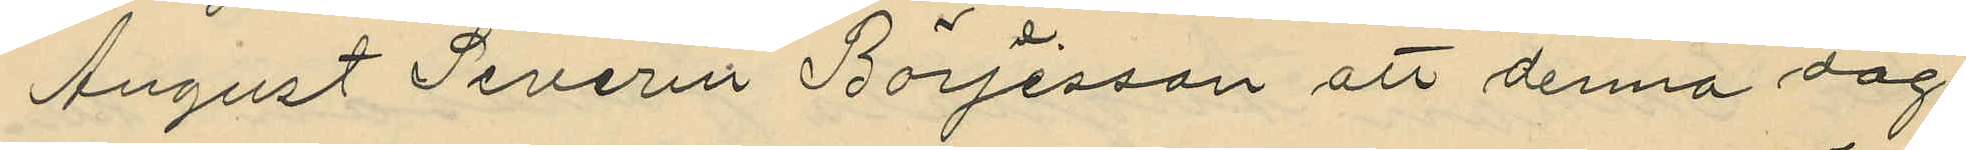August Severin Börjesson att denna dag
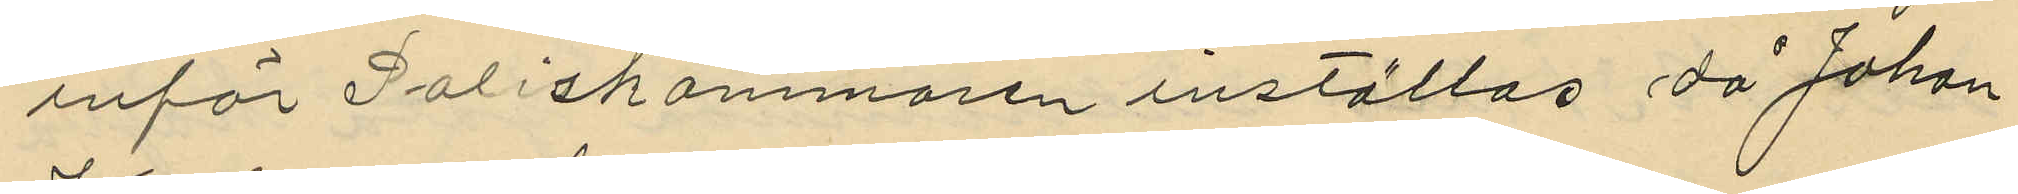inför Poliskammaren inställas då Johan
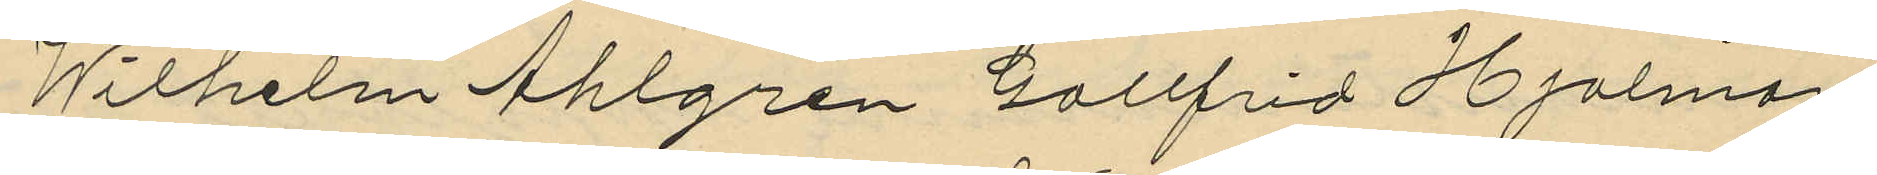Wilhelm Ahlgren, Gottfrid Hjalmar
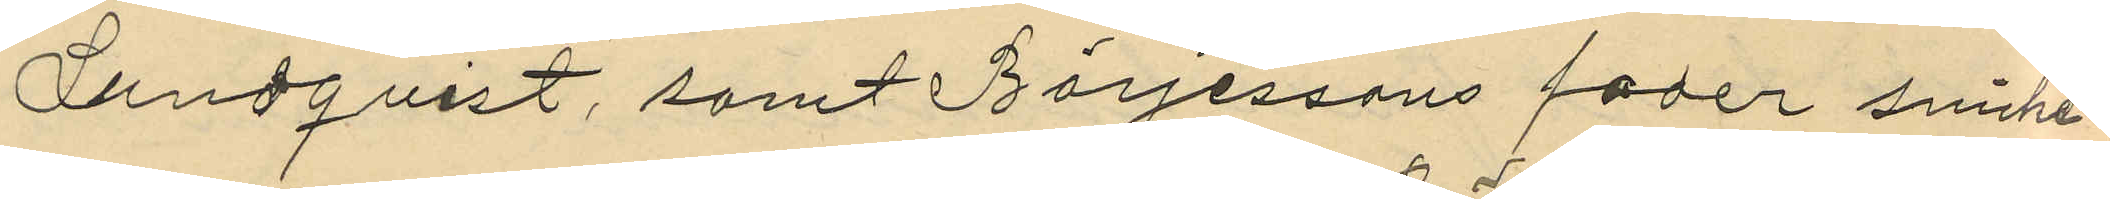Lundqvist, samt Börjessons fader snicke¬
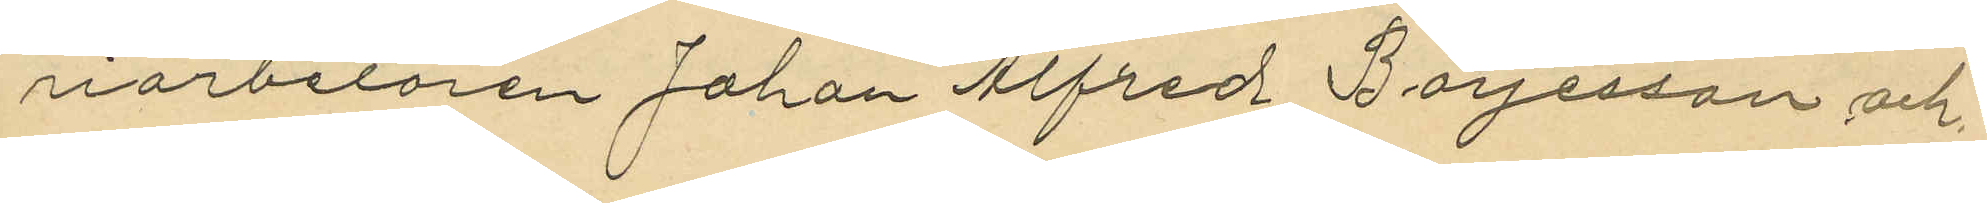riarbetaren Johan Alfred Börjesson och
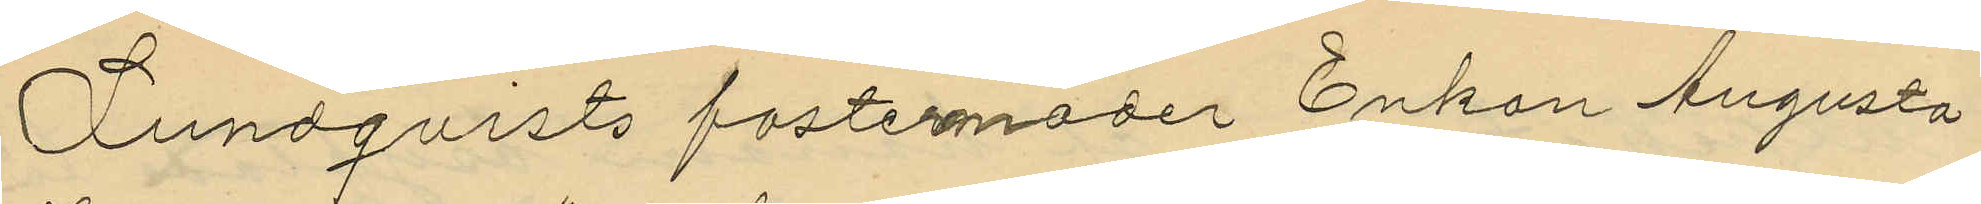Lundqvists fostermoder Enkan Augusta
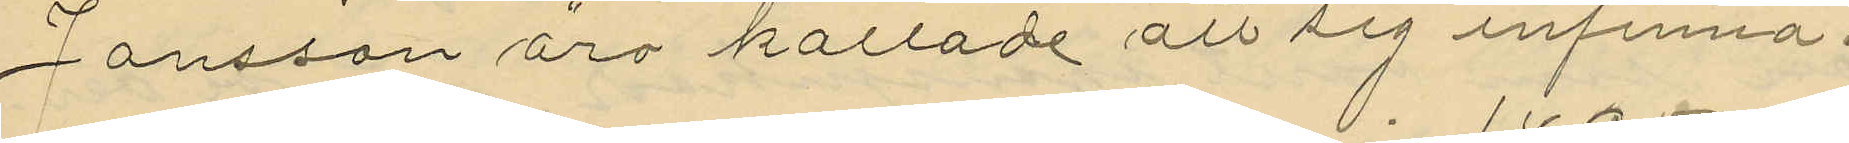Jansson äro kallade att sig infinna.
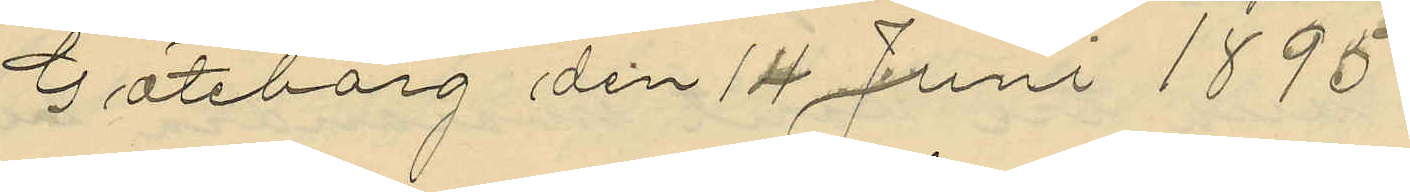Göteborg den 14 Juni 1895
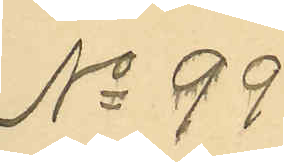No 99
